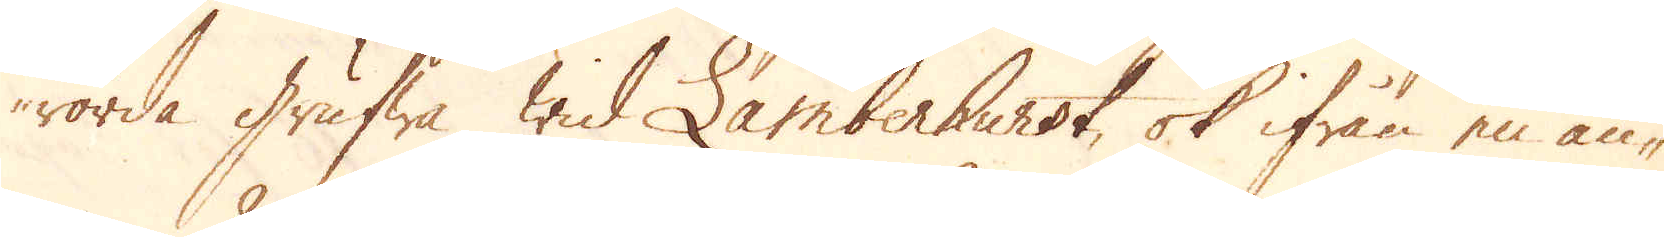rörda grufwa wid Lamberhurst, ok ifrån en an-
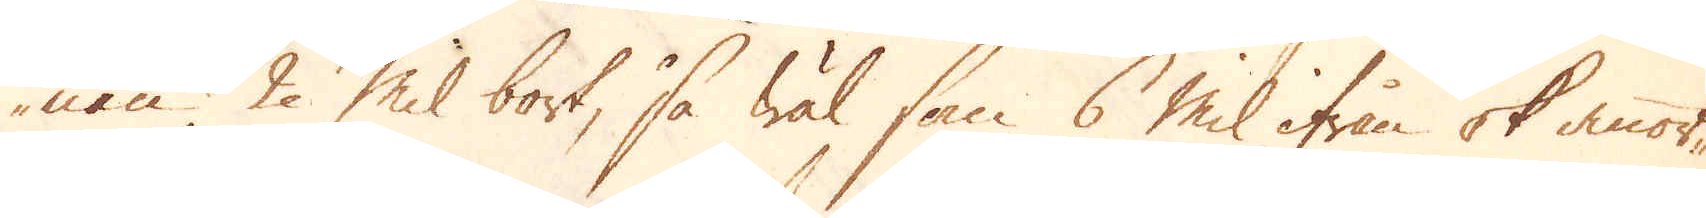nan 2 Mil bort, så wäl som 6 mil ifrån ok annor-
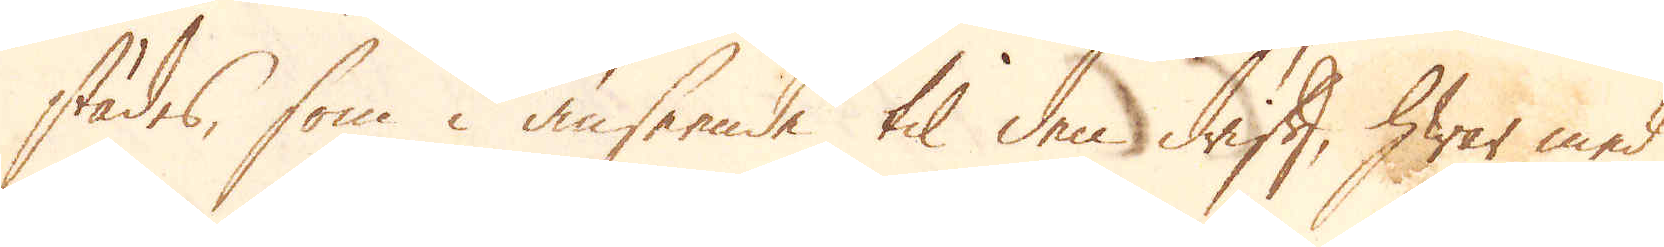städes, som i anseende til den drift, hwar med
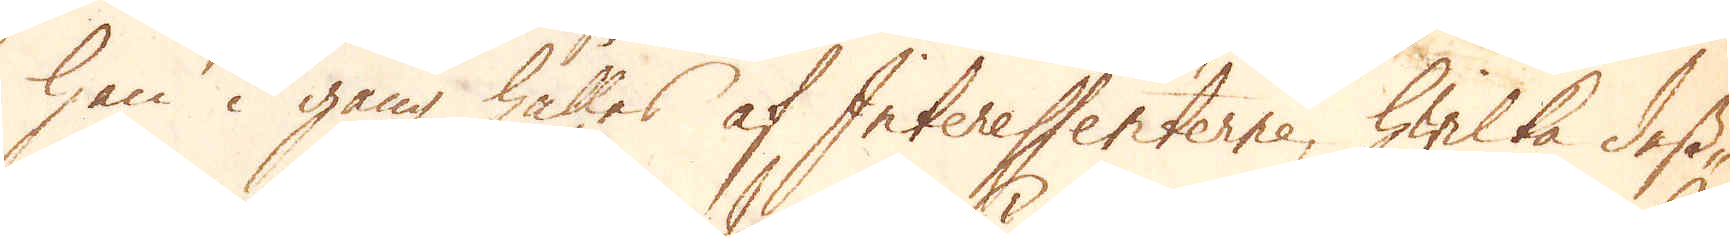han i gång hålles af Interessenterne, hwilka dess
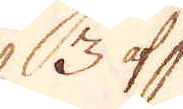3 af
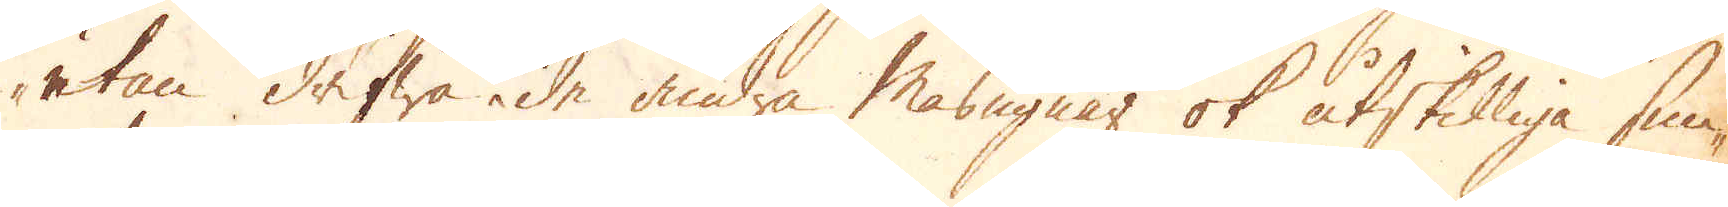utan drifwa de andra Masugnar ok åtskilliga smi-
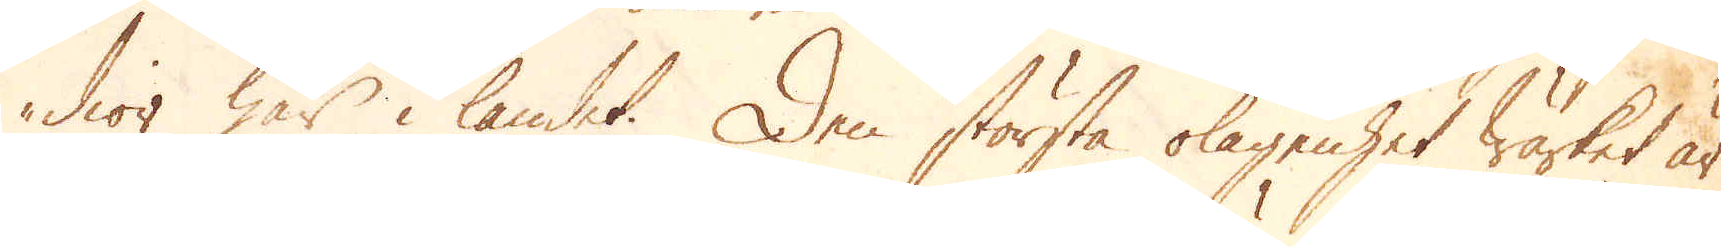dior här i landet. Den största olägenhet wärket är
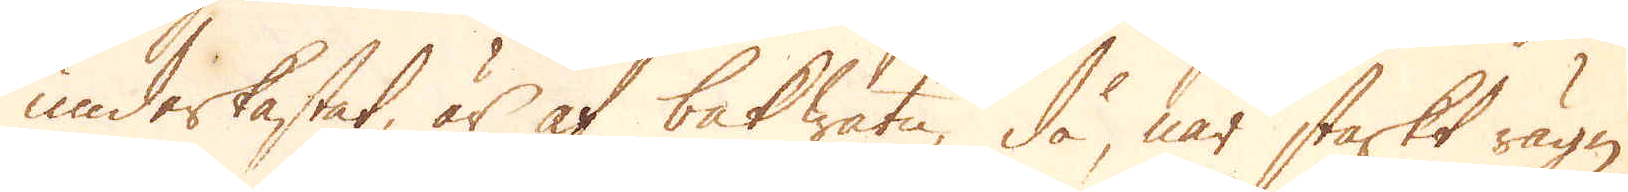underkastat, är af bakwatn, då, när starkt rägn
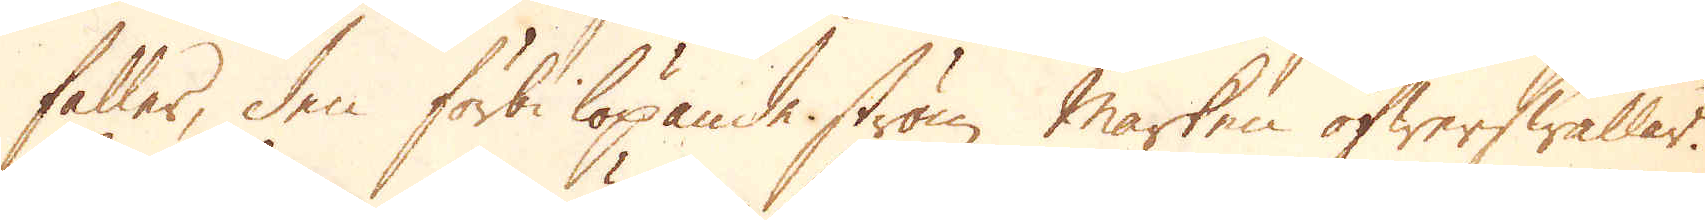faller, den förbi löpande ström marken öfwerswallar.
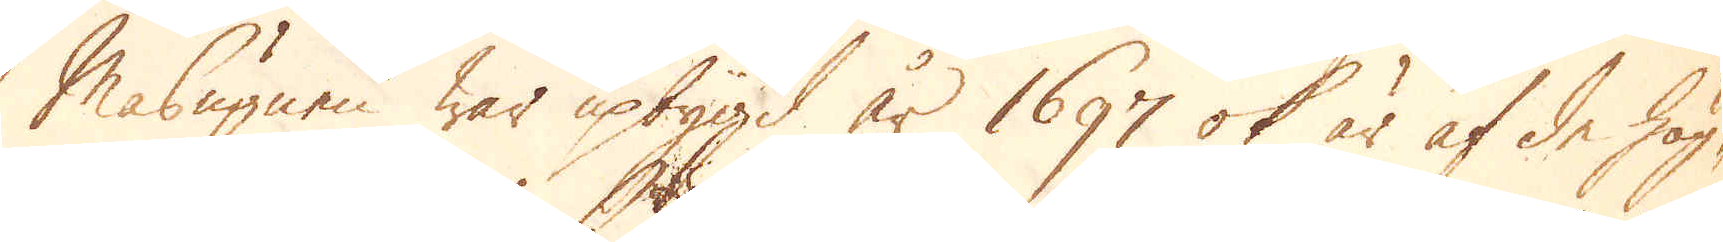Masugnen war upbygd år 1697 ok är af de hög-
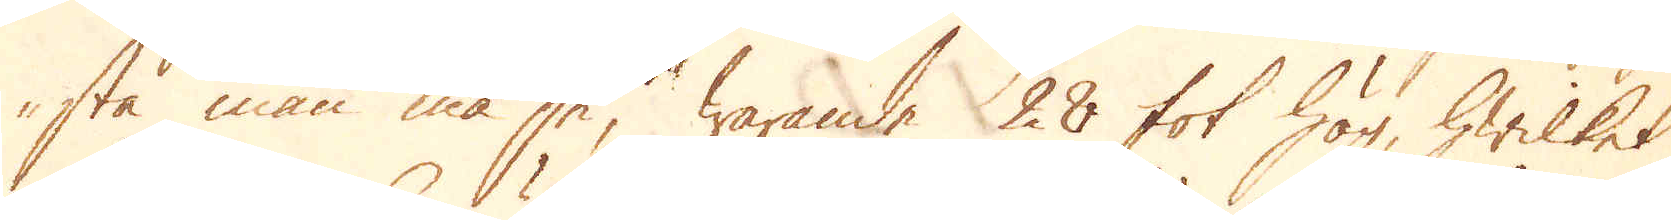sta man må se, warande 28 fot hög, hwilket
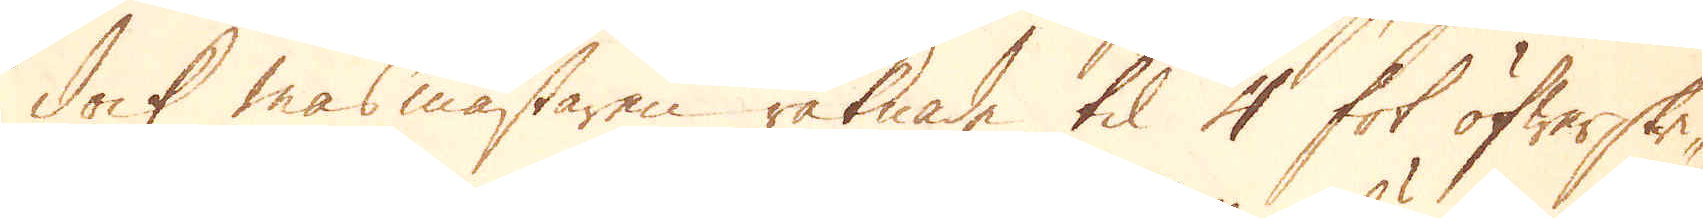dock masmästaren räknade til 4 fot öfwerskri-
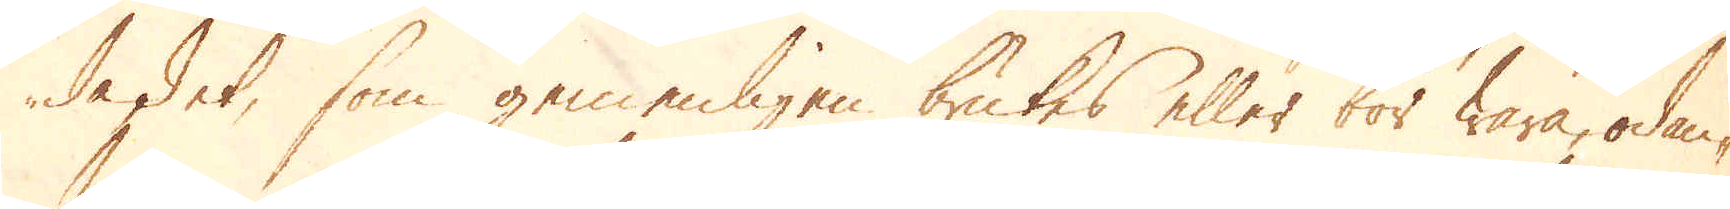da det, som gemenligen brukes eller bör wara, ödan-
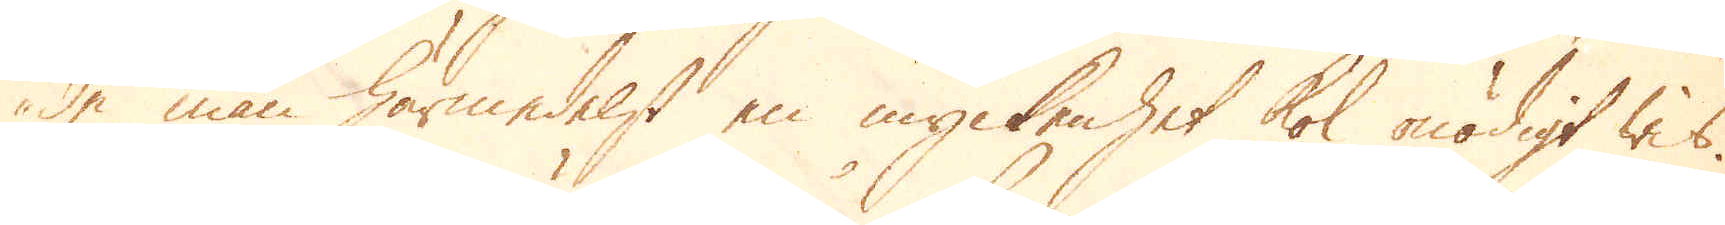de man härmedelst en myckenhet kol onödigt wis.
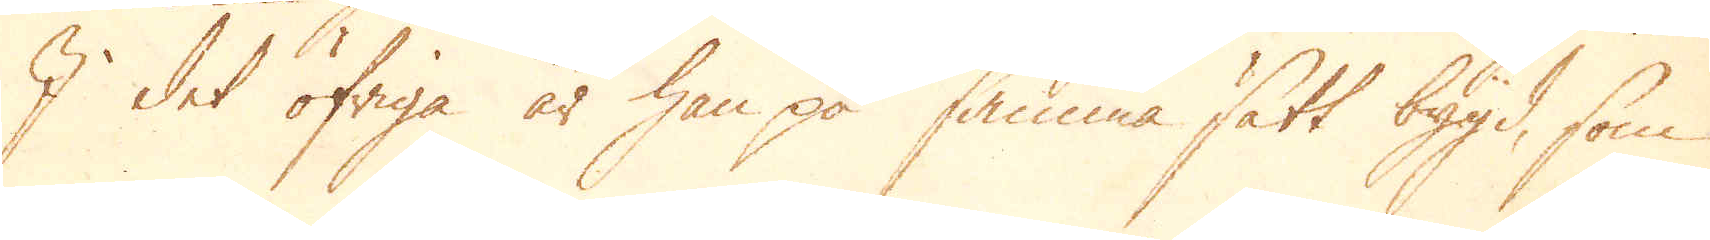I det öfriga är han på samma sätt bygd, som
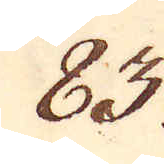83.
